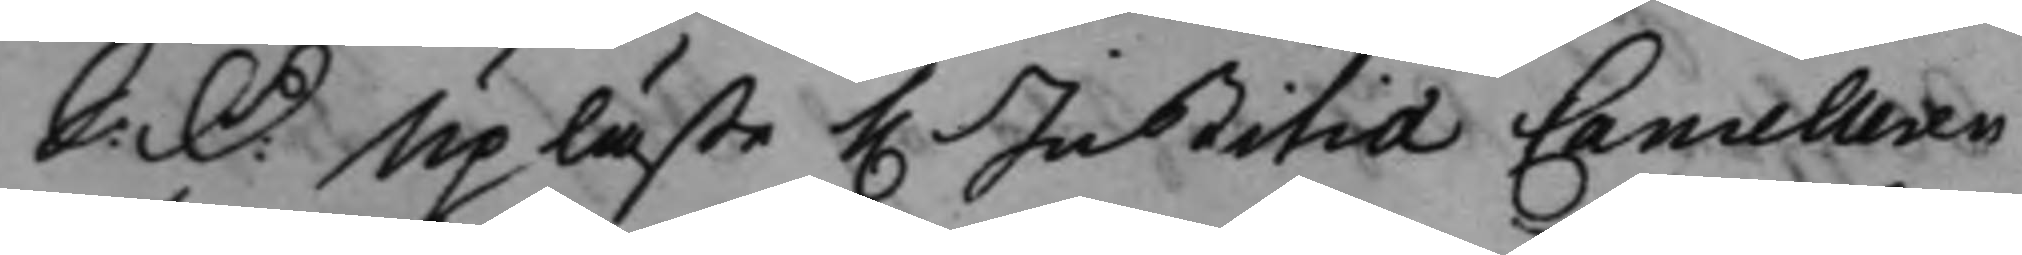S: D: Upläste h. Justitiæ Cancelleren 
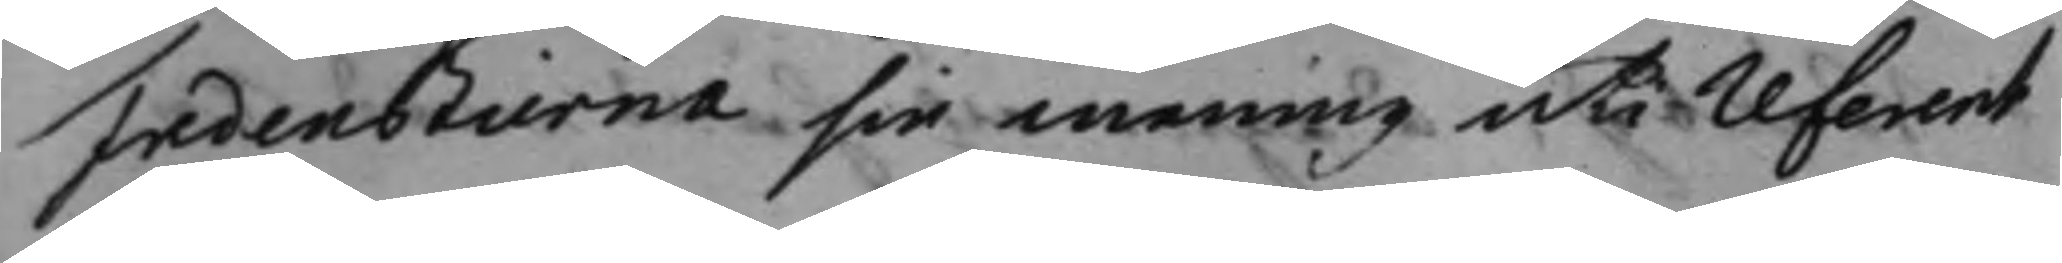Fredenstierna sin mening uti referent¬
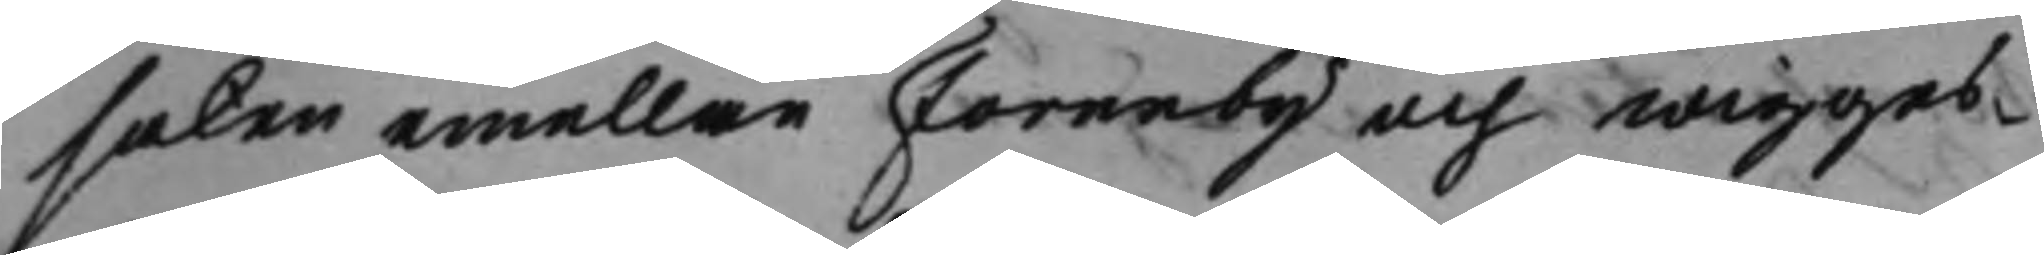saken emellan Forneby och wigges¬
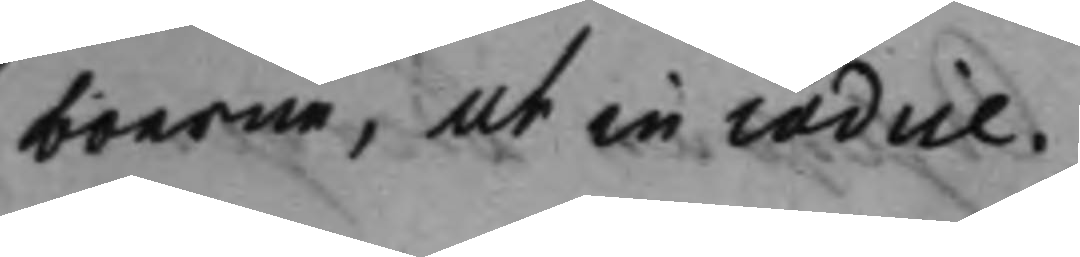boerne, ut in codice.
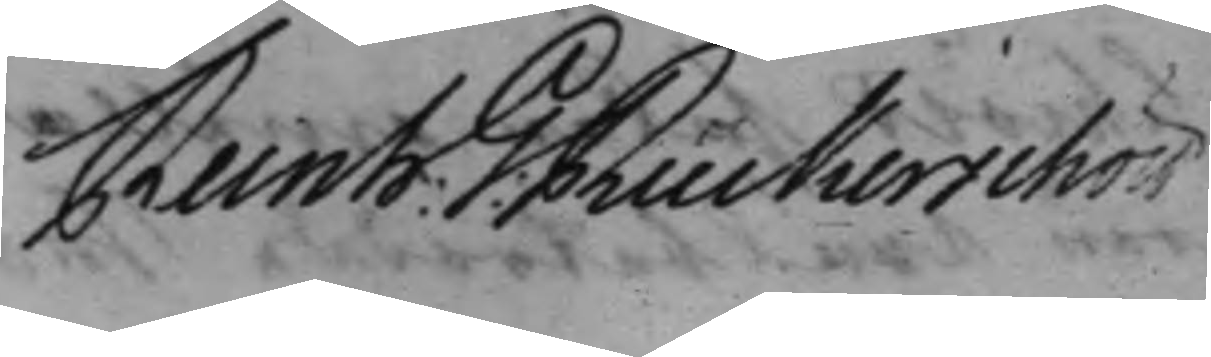Reinh: G. Ruckerschöld 
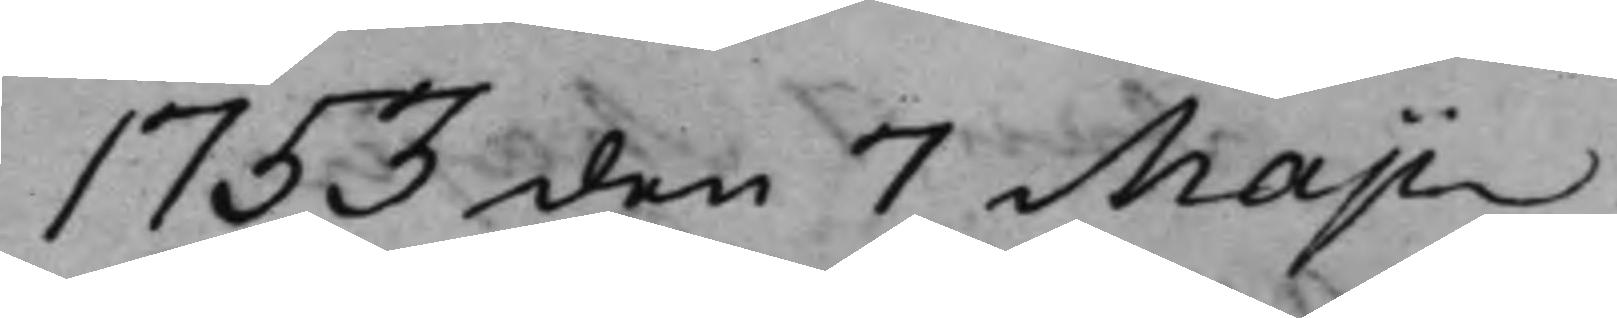1753 den 7 Maji
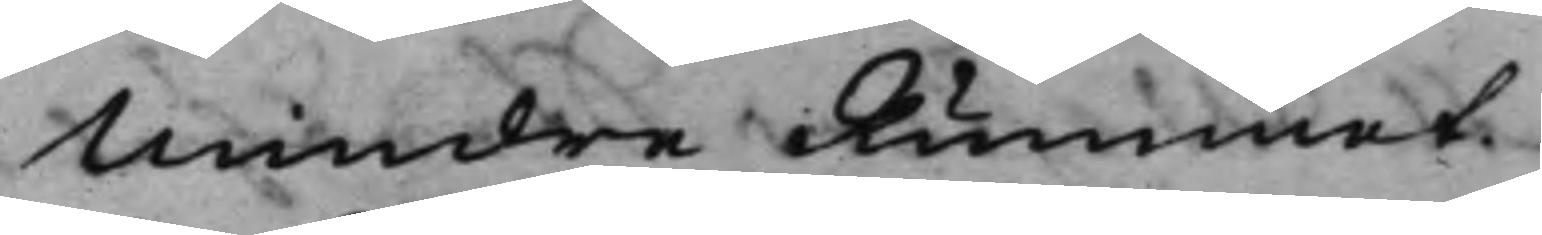Mindre Rummet
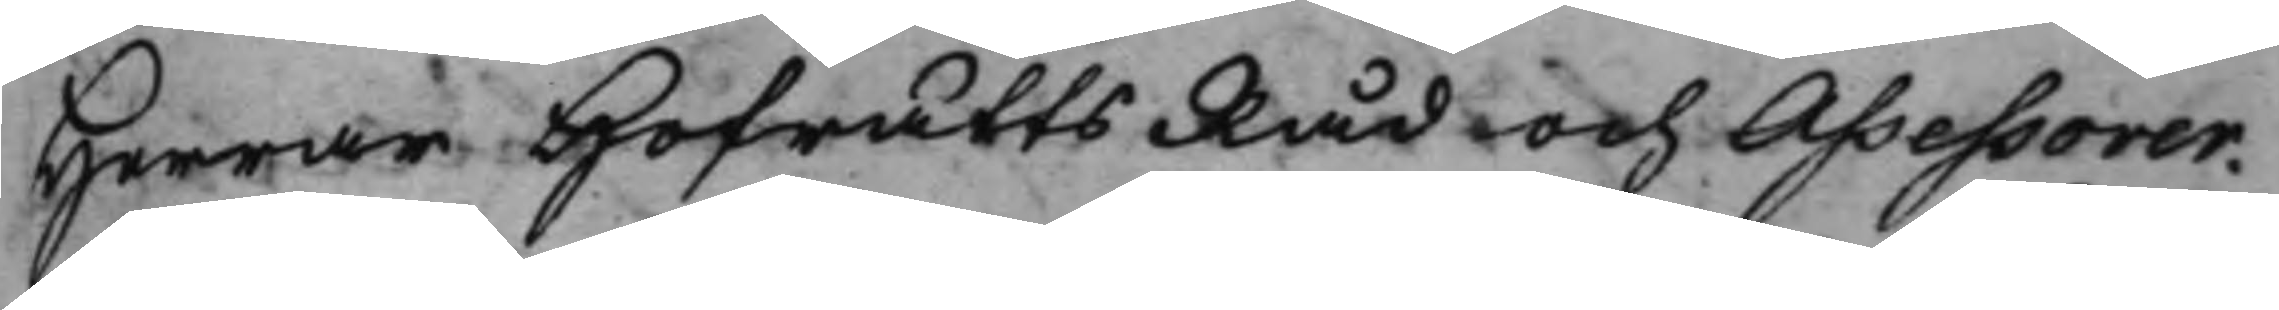Herrar HofrättsRåd och Assesorer.
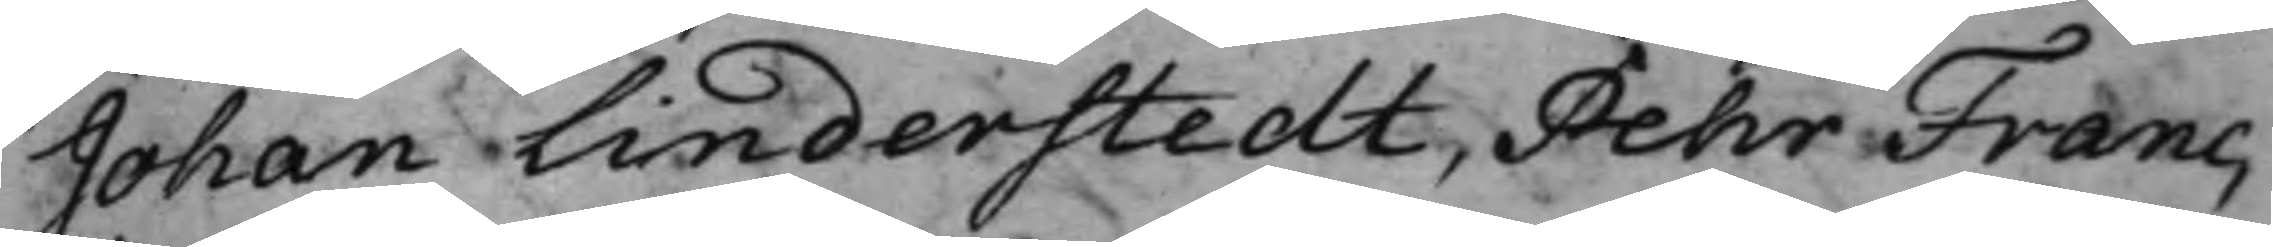Johan Linderstedt, Pehr Franc,
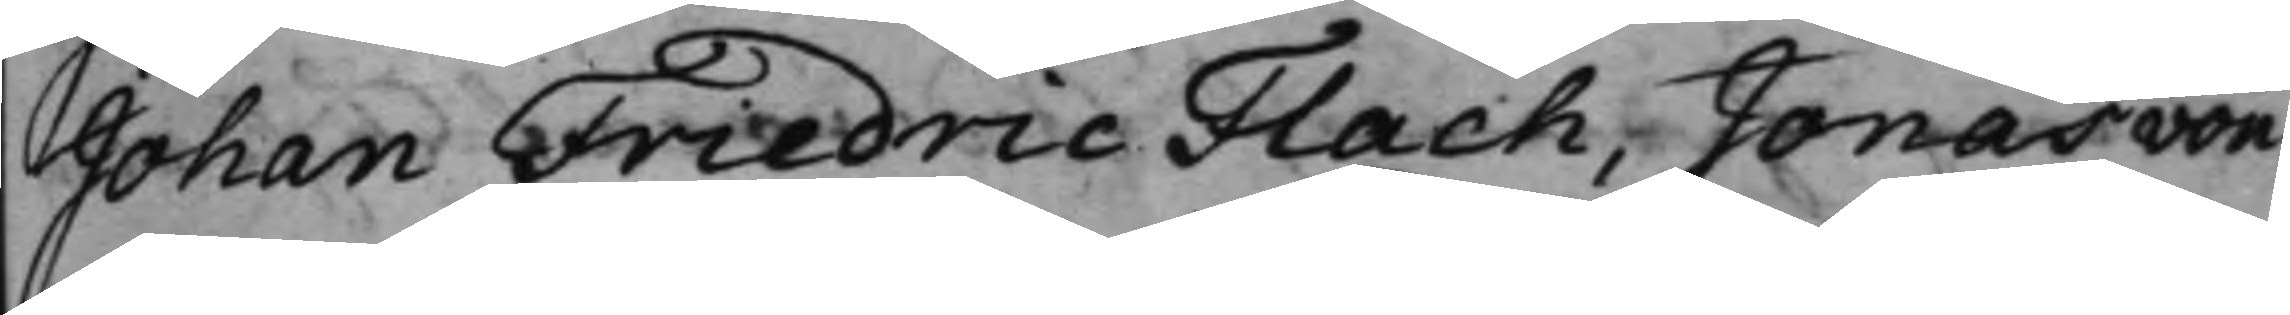Johan Friedric Flach, Jonas von
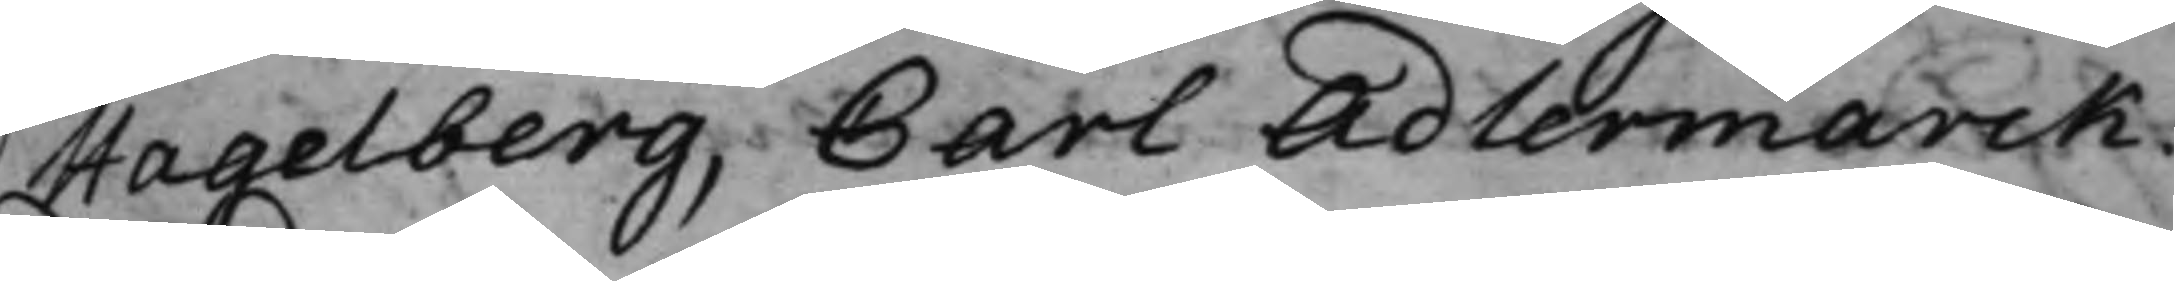Hagelberg, Carl Adlermarck.
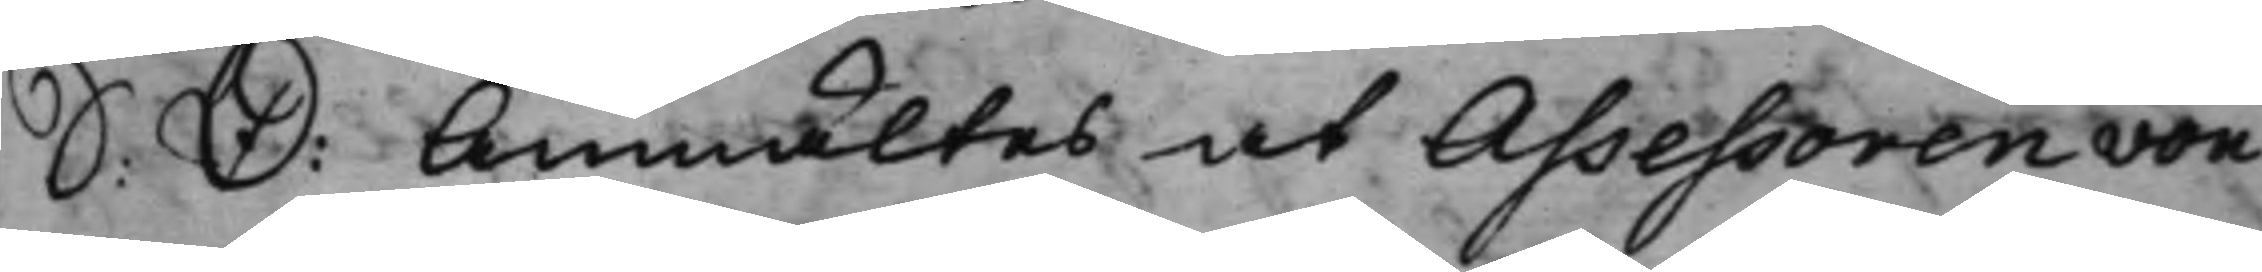S: D: Anmältes at Assesoren Von
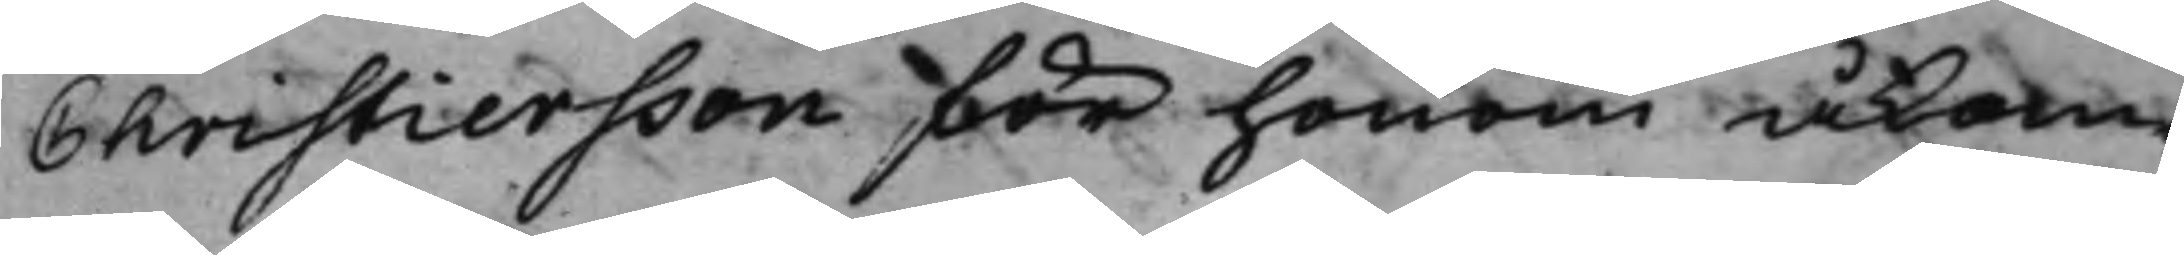Christiersson för honom åkom¬
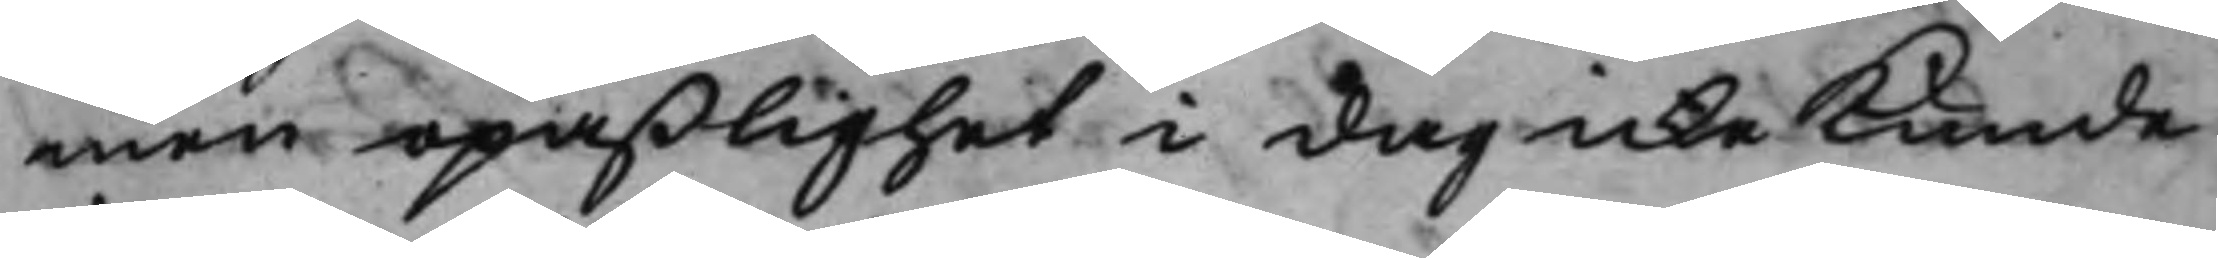men opaßlighet i dag icke Kunde
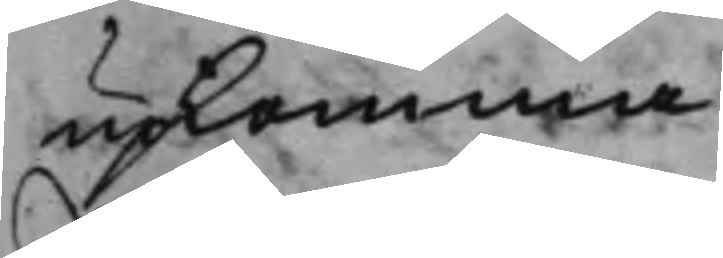upkomma.
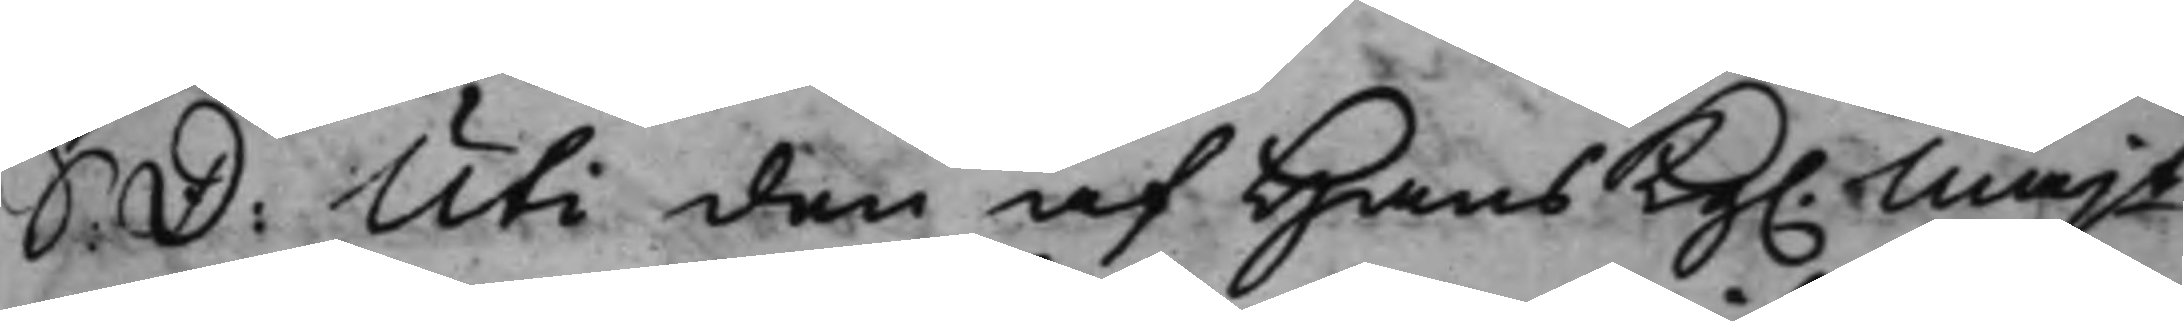S: D: Uti den af Hans Kg. Majt
